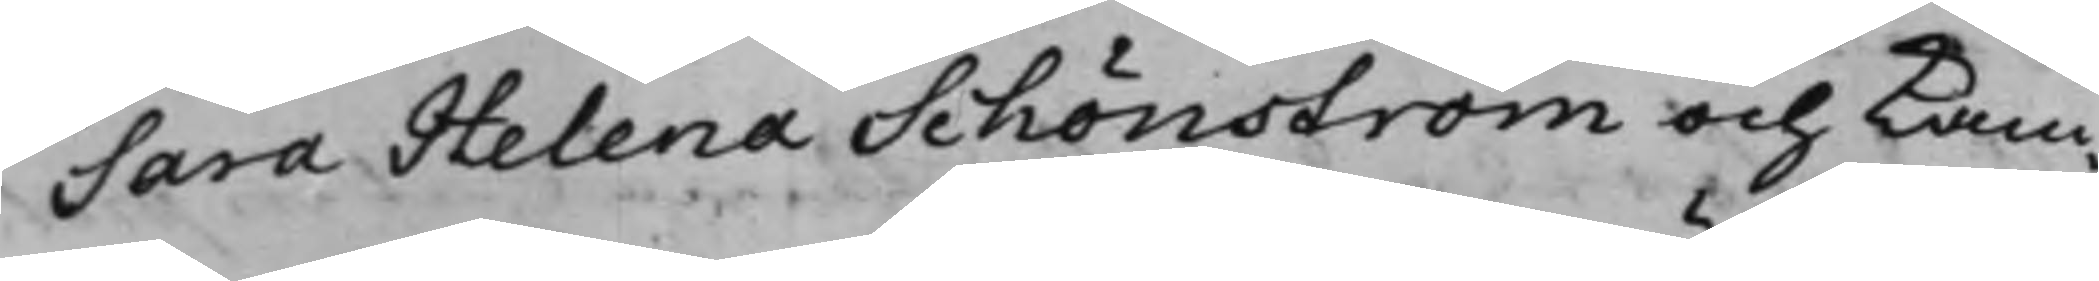Sara Helena Schönström och Kam¬
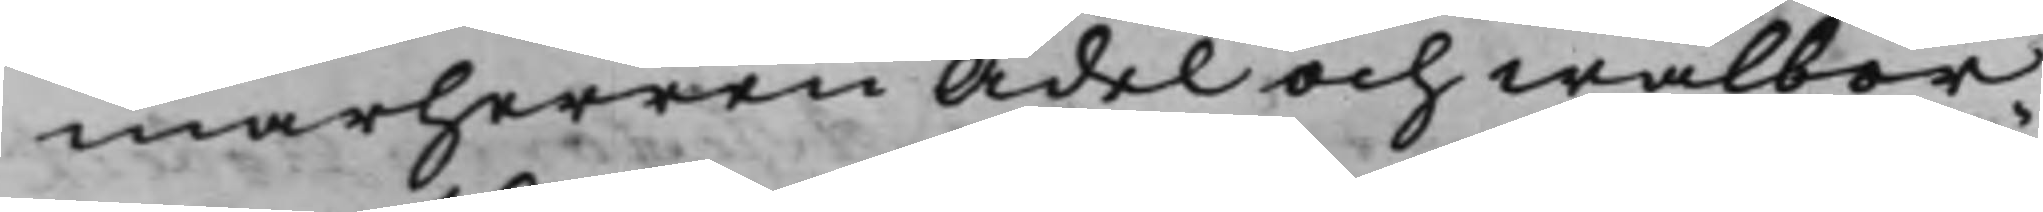marherren Ädel och wälbör¬
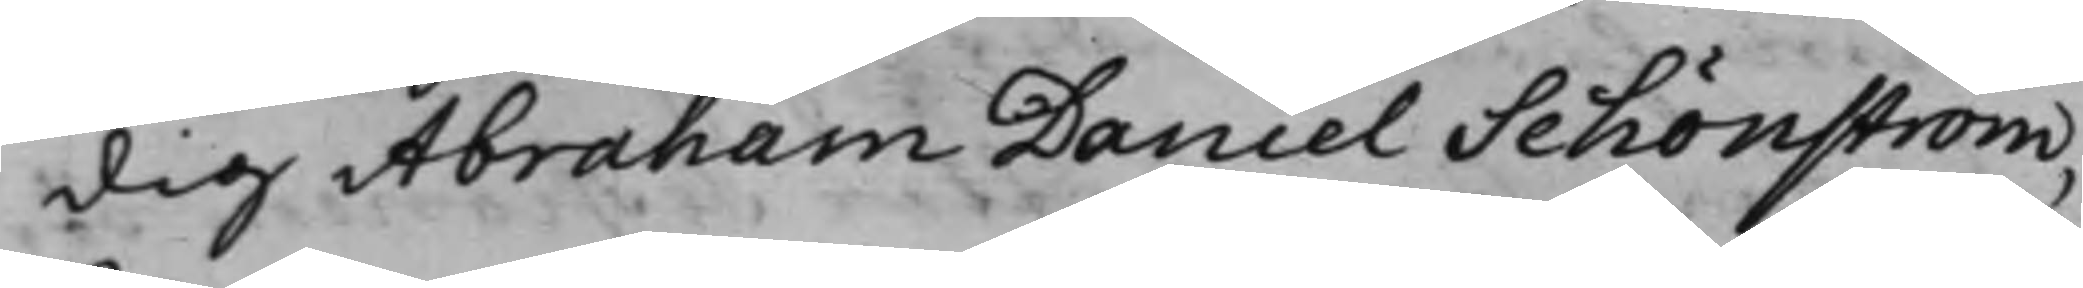dig Abraham Daniel Schönström,
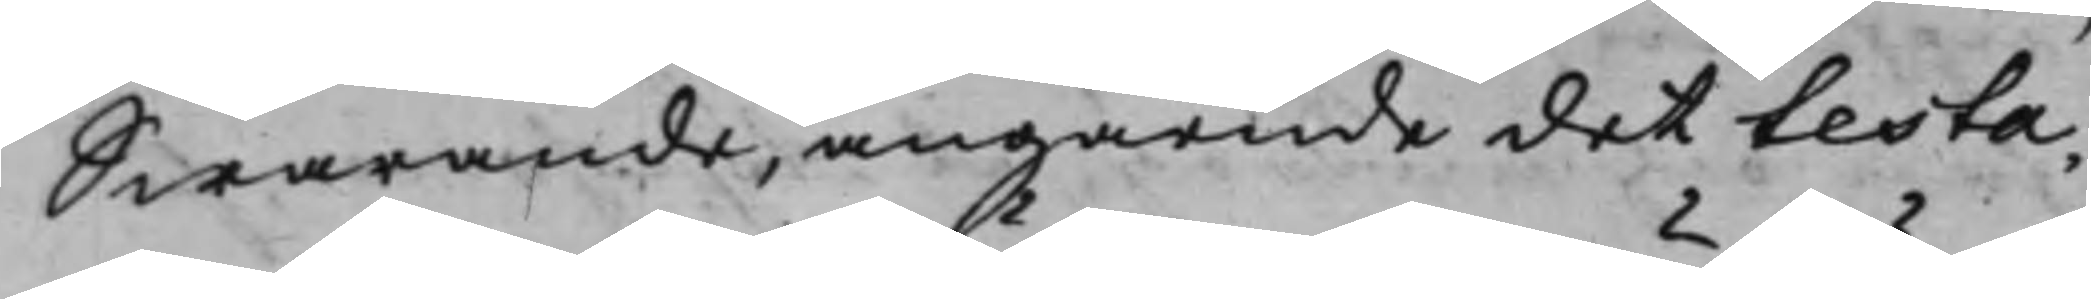Swarande, angående det testa¬
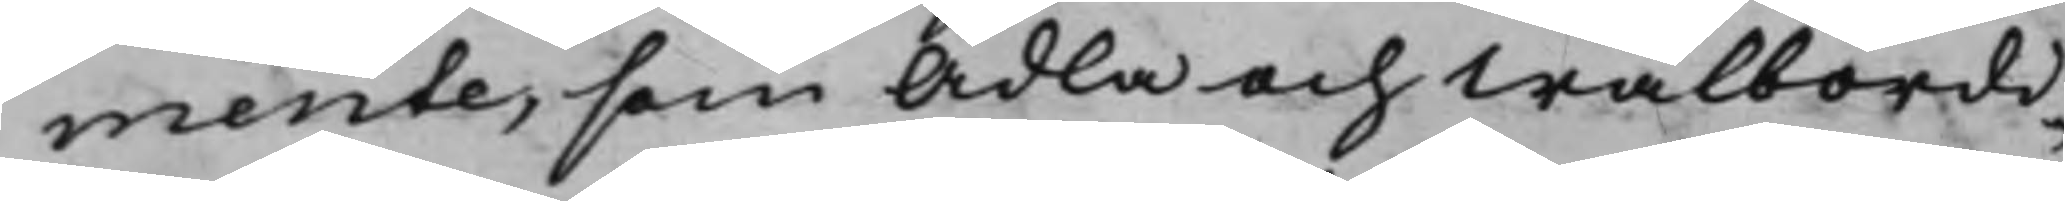mente, som Ädla och Wälbördi¬
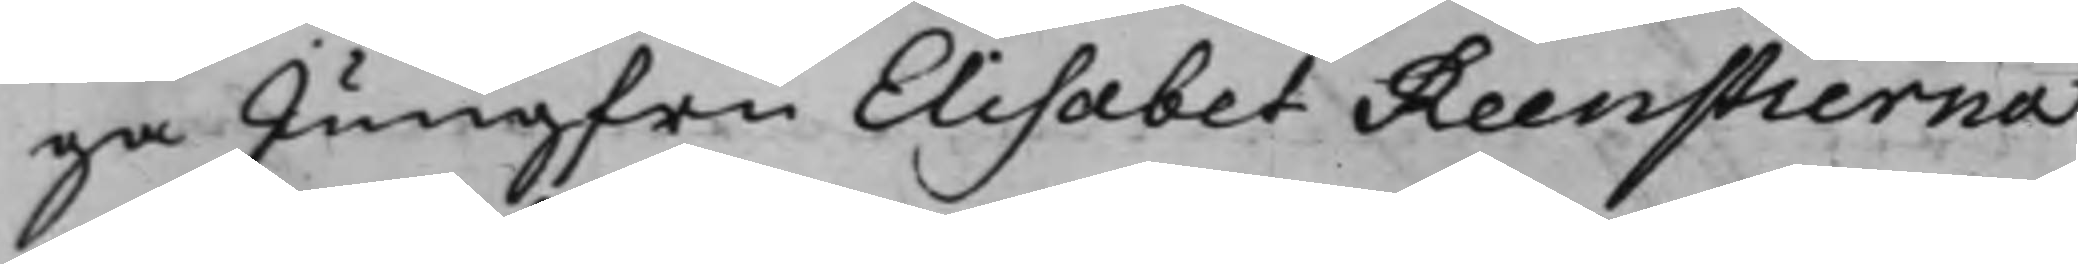ga Jungfru Elisabet Reenstierna
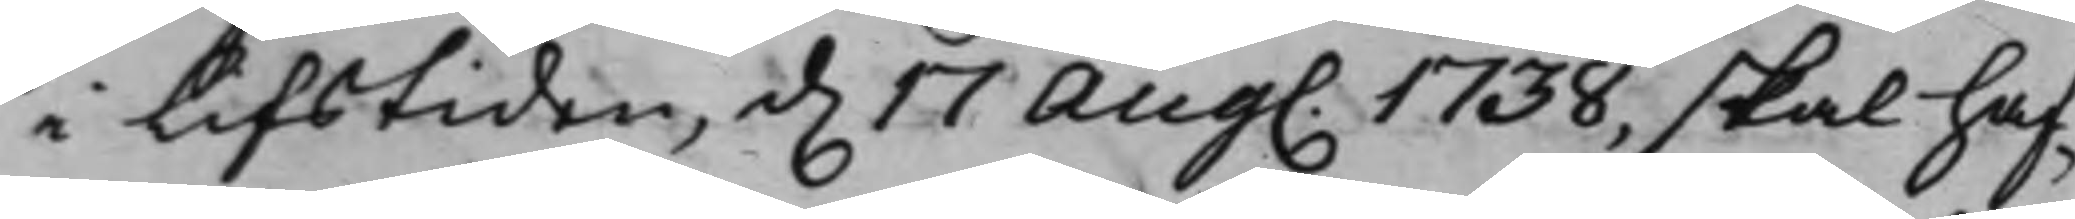i Lifstiden, d. 17 Aug. 1738, skal haf¬
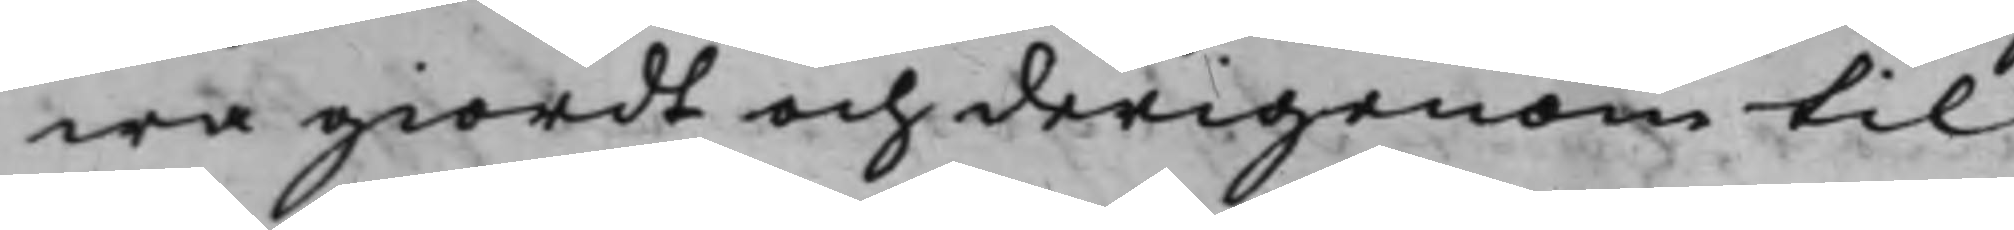wa giordt och derigenom til
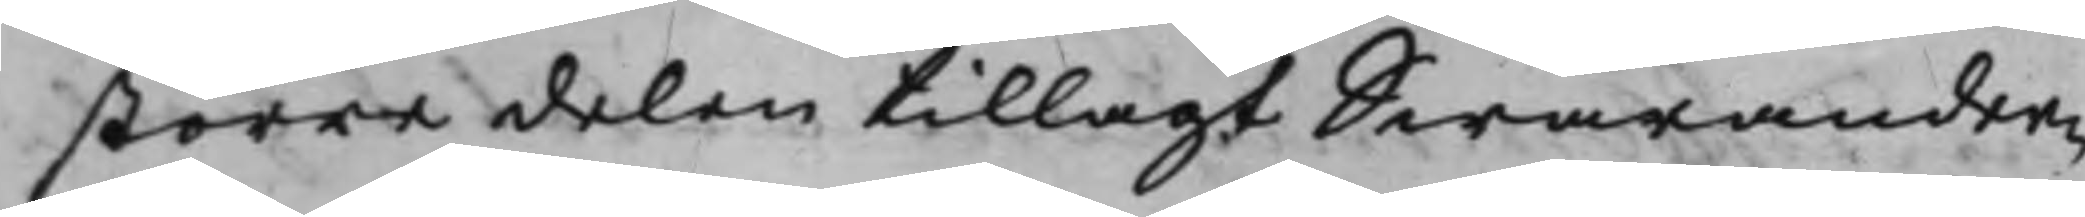större delen tillagt Swarander¬
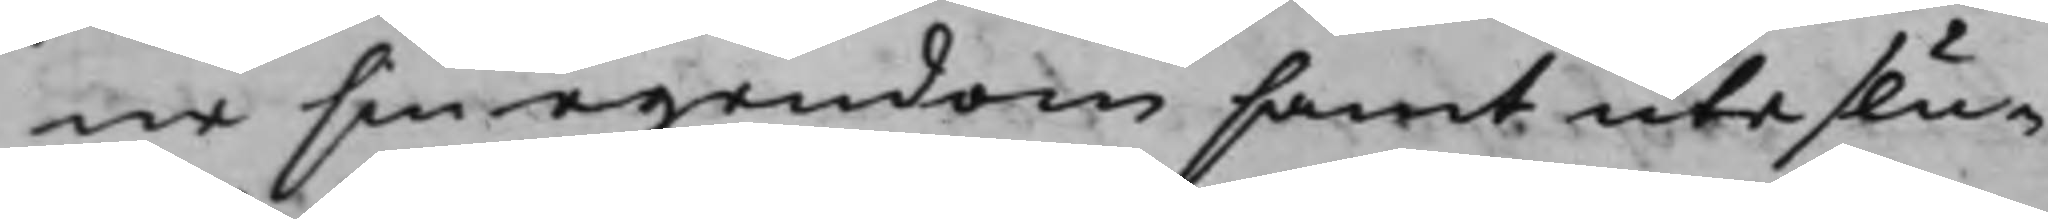ne sin egendom samt uteslu¬
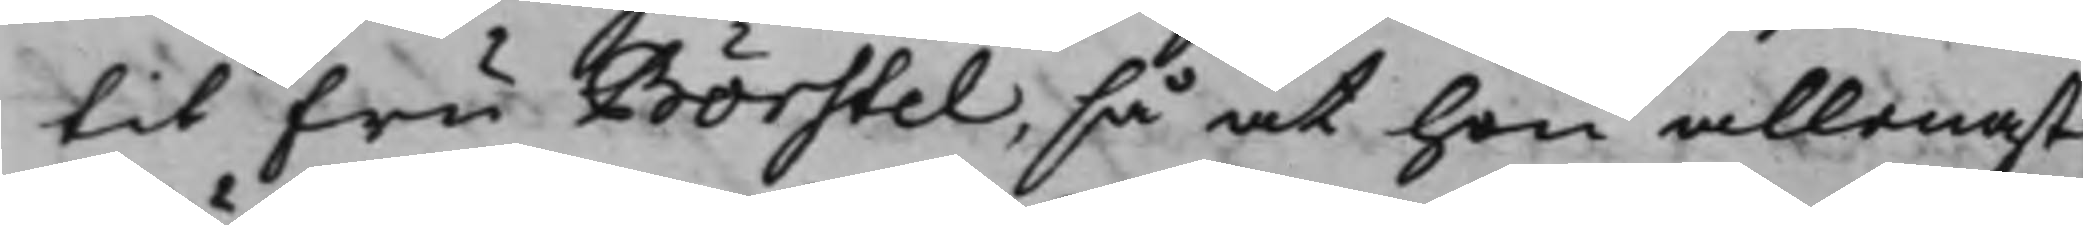tit Fru Börstel, så at hon allenast
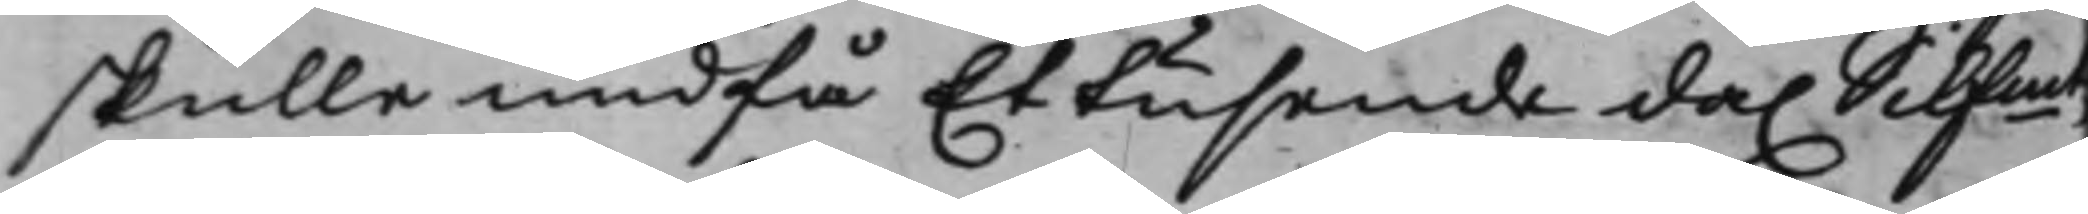skulle undfå Et tusende da. Silfmt,
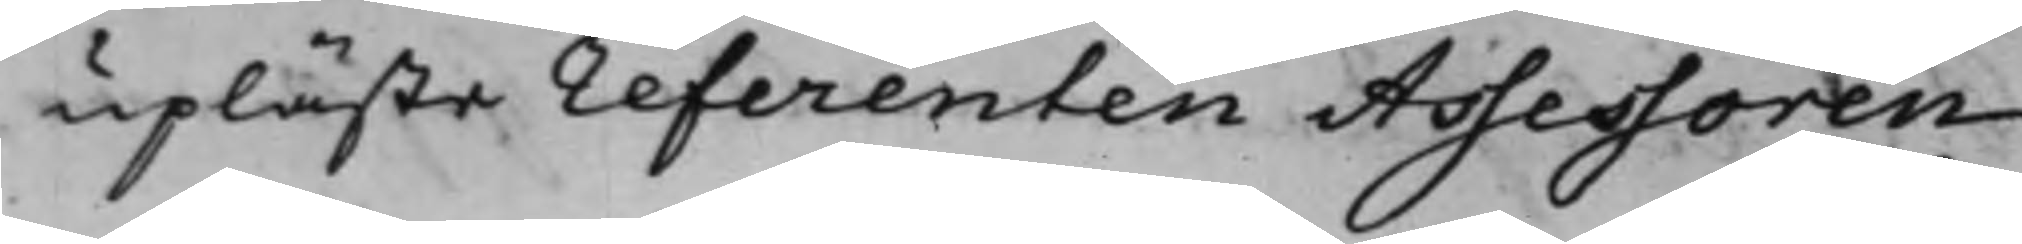upläste referenten Assessoren
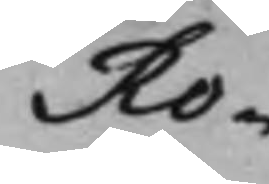Ro¬
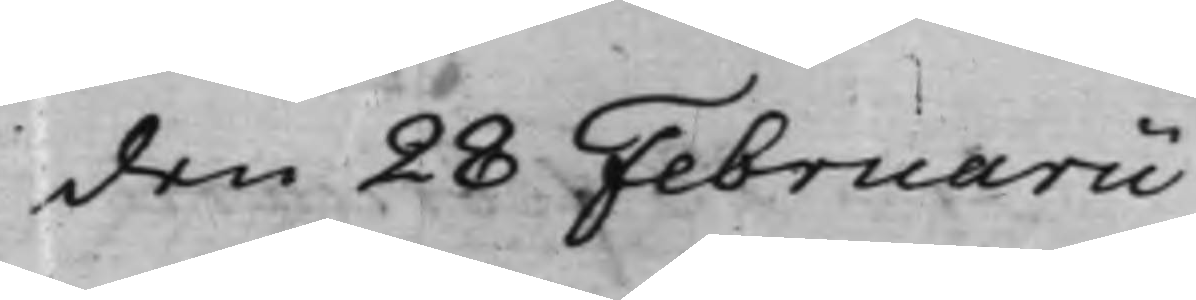den 28 Februarii
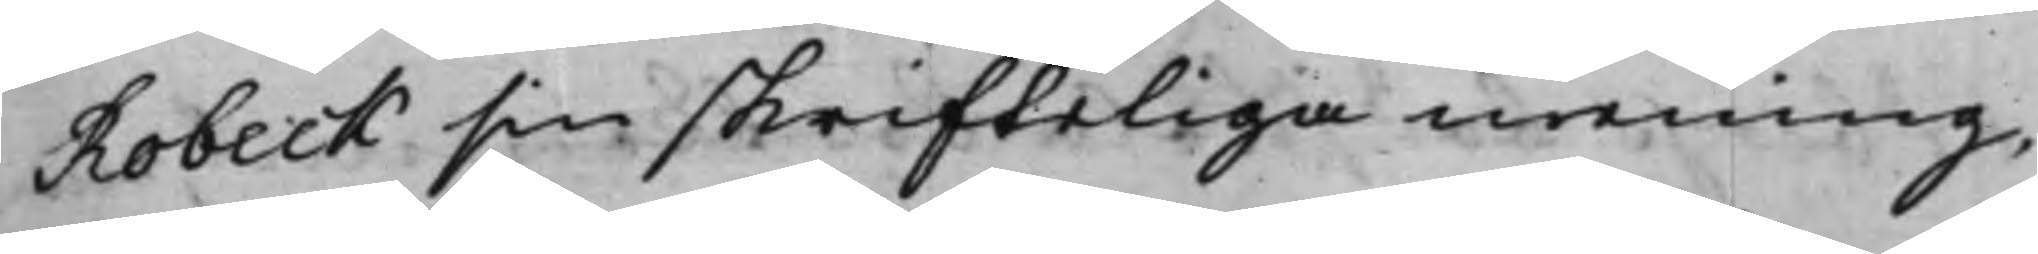Robeck sin skrifteliga mening,
